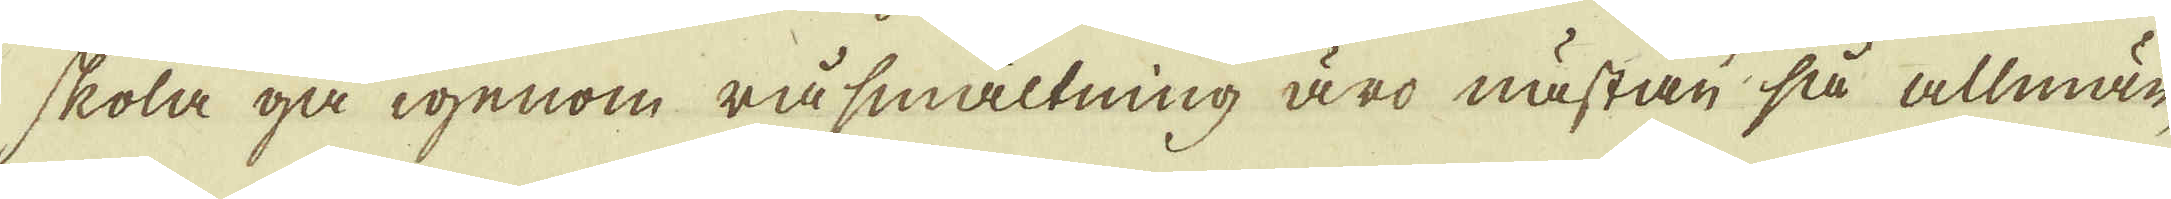skola gå igenom råsmältning äro nästan så allmän-
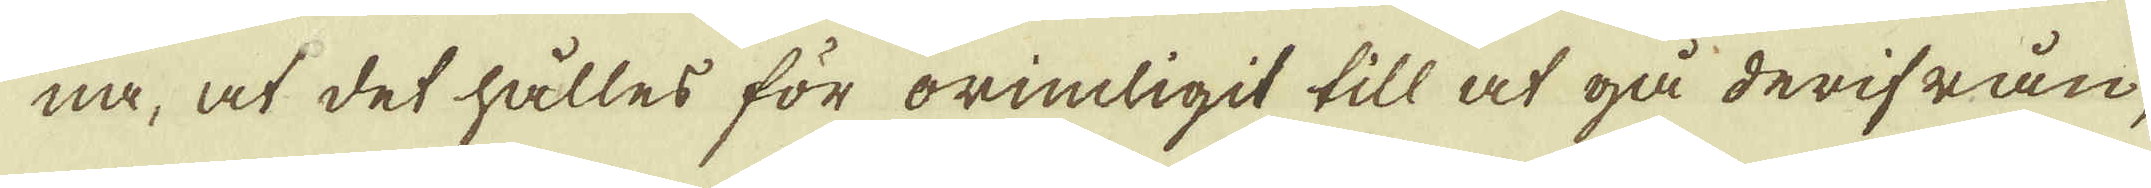na, at det hålles för orimligit till at gå derifrån,
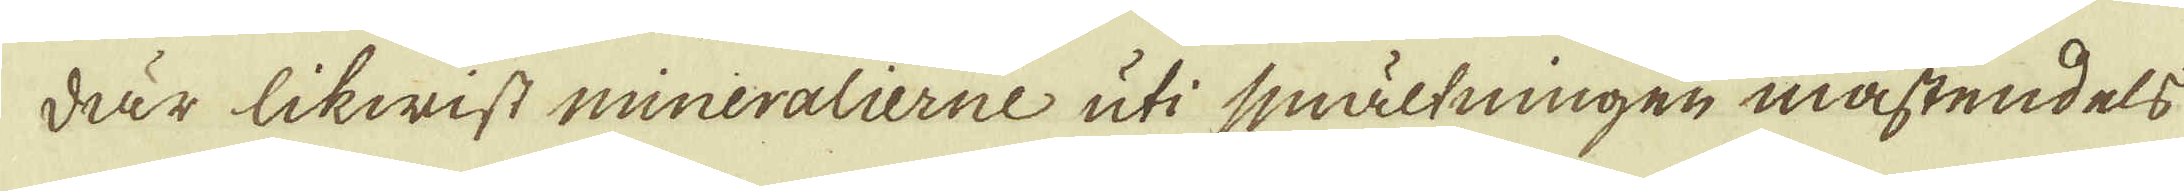där likwist mineralierne uti smältningen mästendels
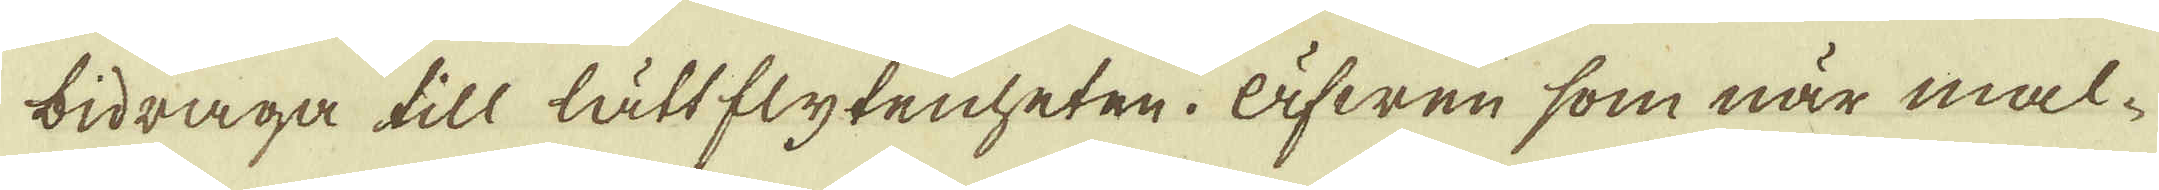bidraga till lättflytenheten. Äfwen som när mal-
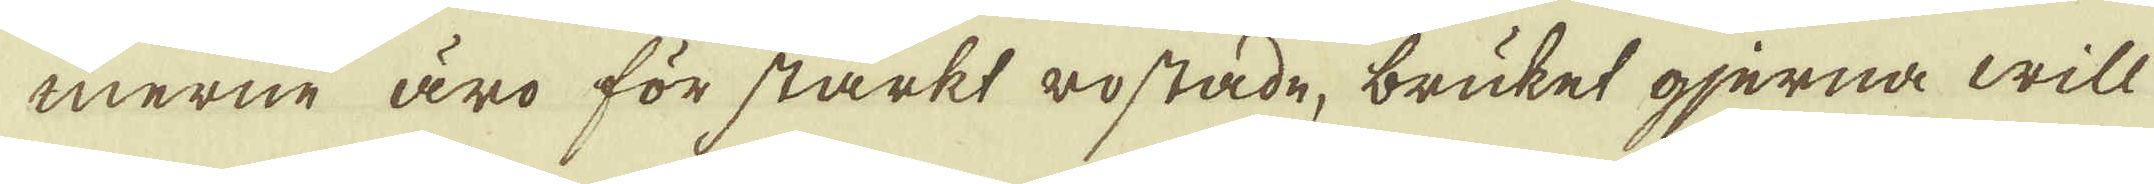merne äro för starkt rostade, bruket gjerna will
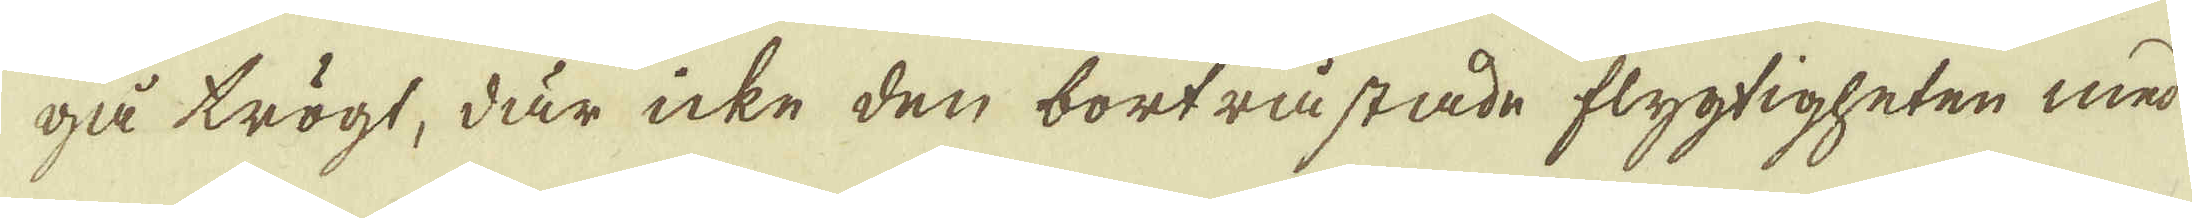gå trögt, där icke den bortråstade flygtigheten med
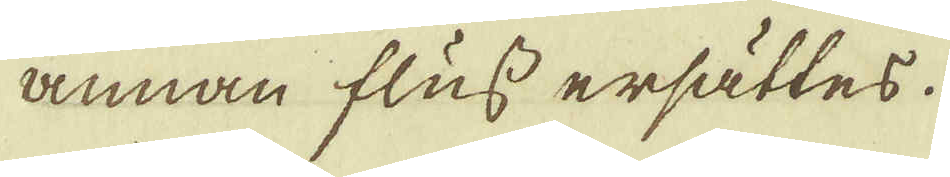annan fluss ersättes.
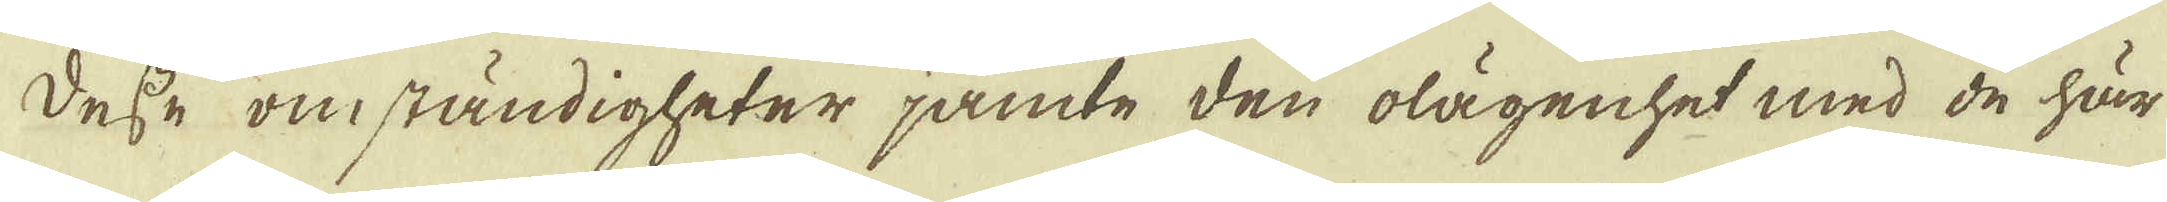Desse omständigheter jämte den olägenhet med de här
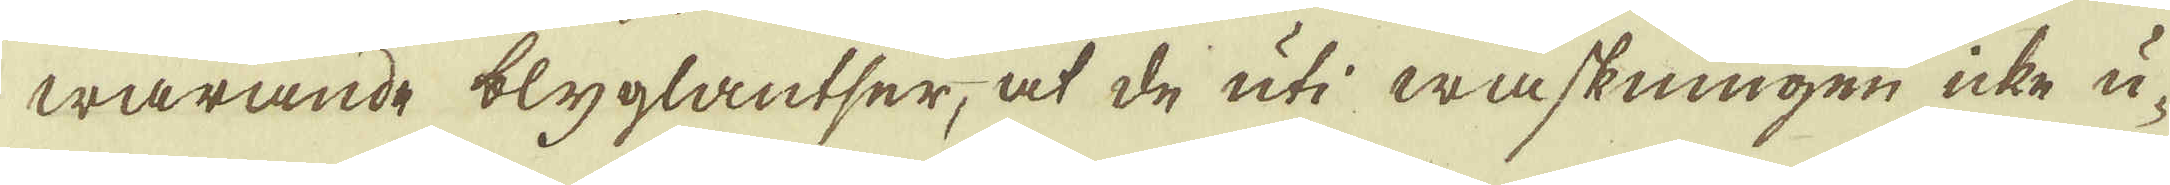warande blyglantser, at de uti waskningen icke u-
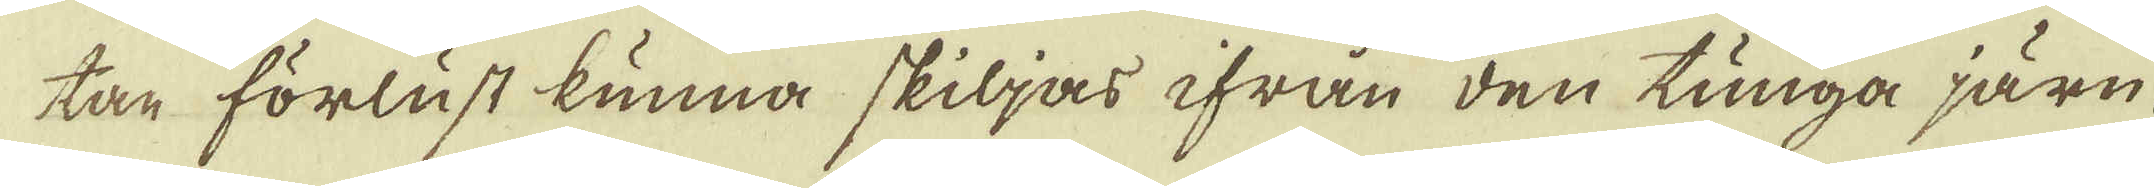tan förlust kunna skiljas ifrån den tunga järn-
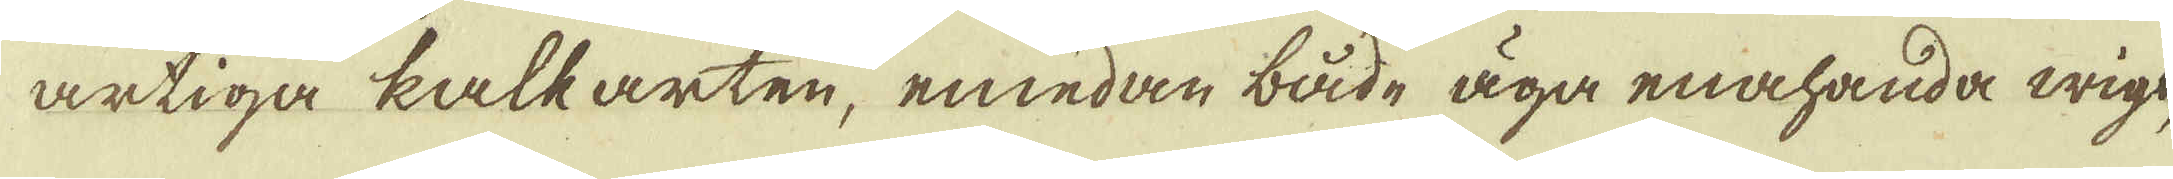artiga kalkarten, emedan både äga enahanda wigt,
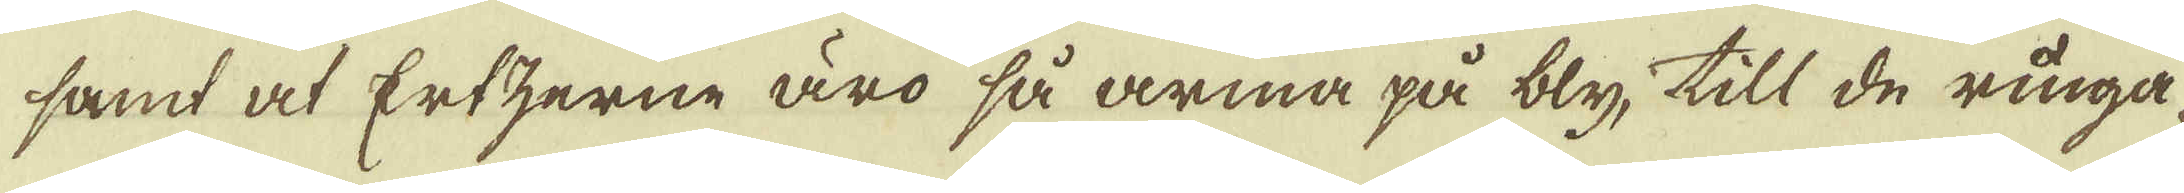samt at Ertzerne äro så arma på bly, till de ringa-
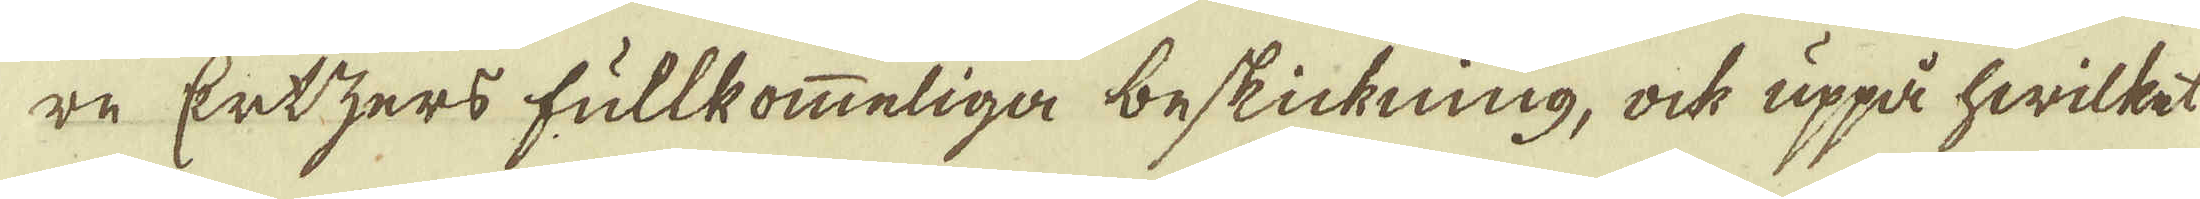re Ertzers fullkommeliga beskickning, ock uppå hwilket
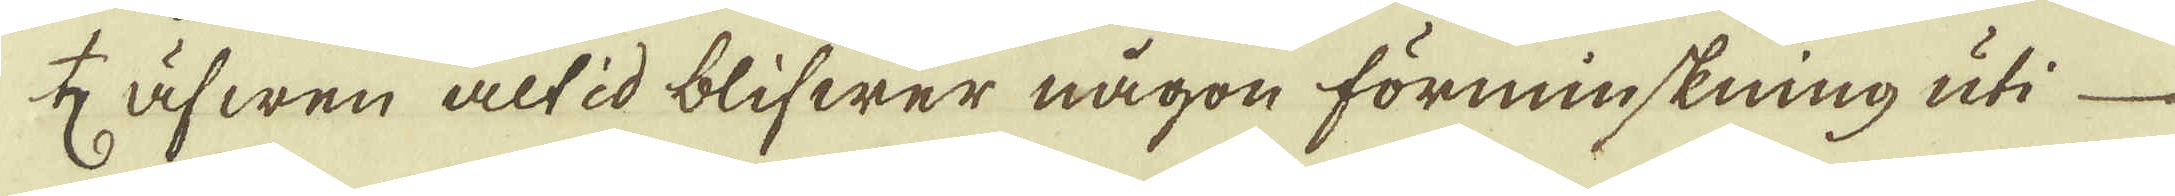♄ äfwen altid blifwer någon förminskning uti
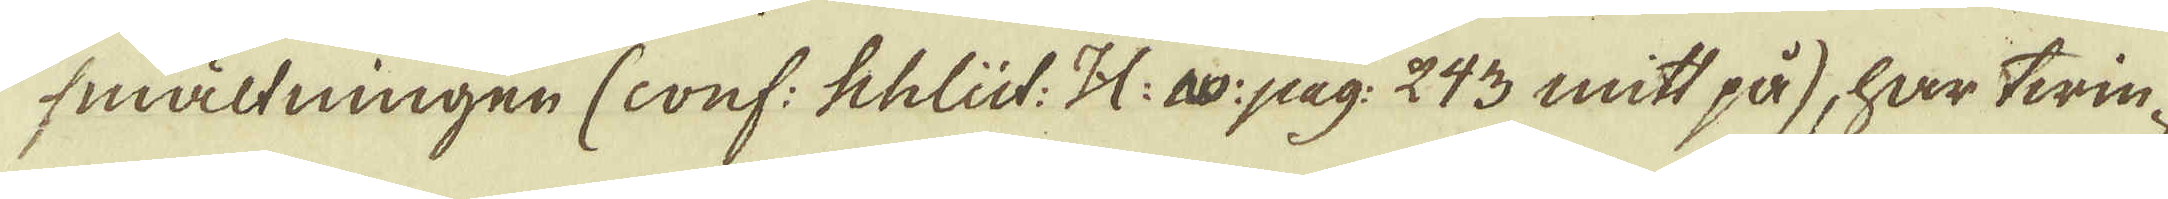smältningen (conf: Schlüt: H: av: pag: 243 mitt på), har twin-
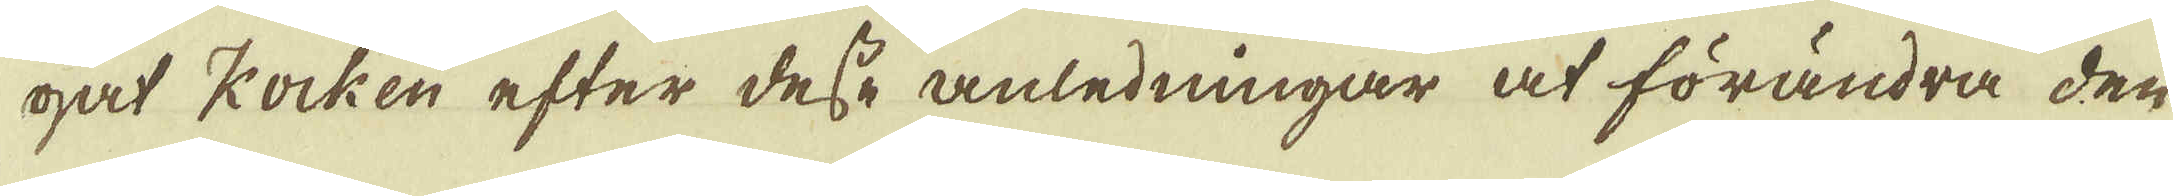gat kocken efter desse anledningar at förändra den
